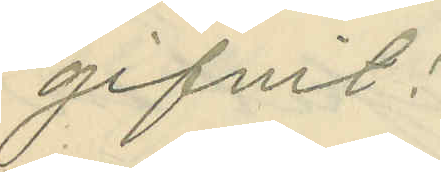gifvit:
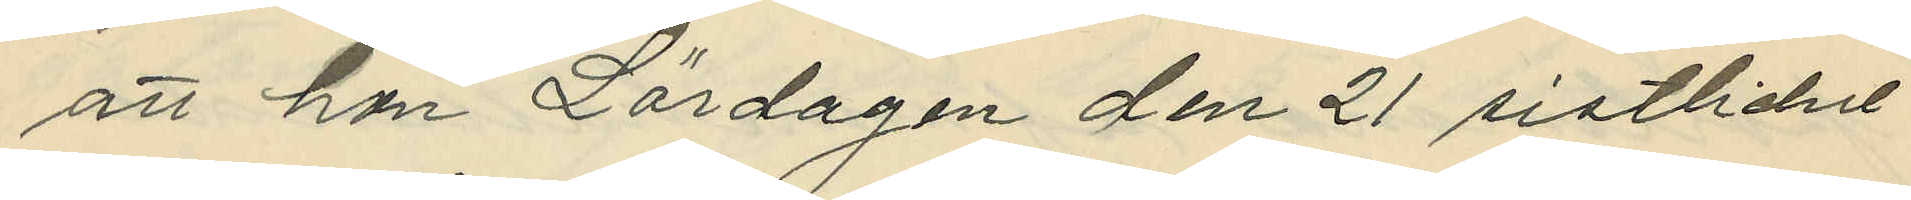att hon Lördagen den 21 sistlidne
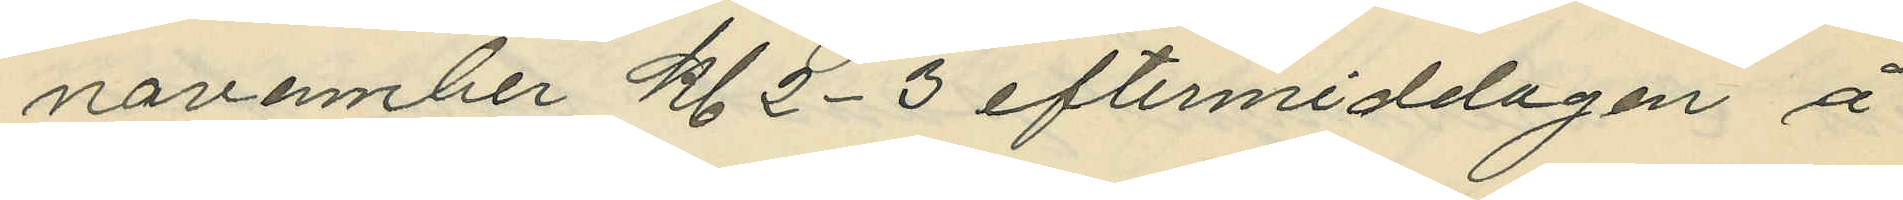novennber kl. 2-3 eftermiddagen å
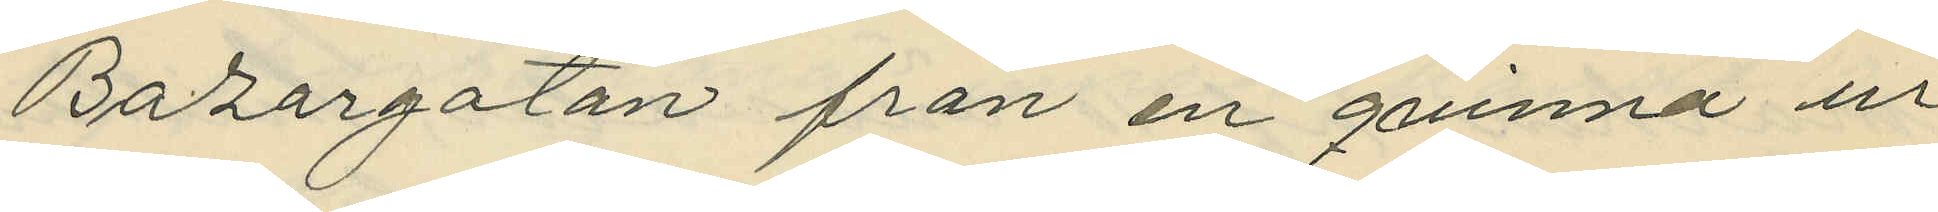Bazargatan från en qvinna ur
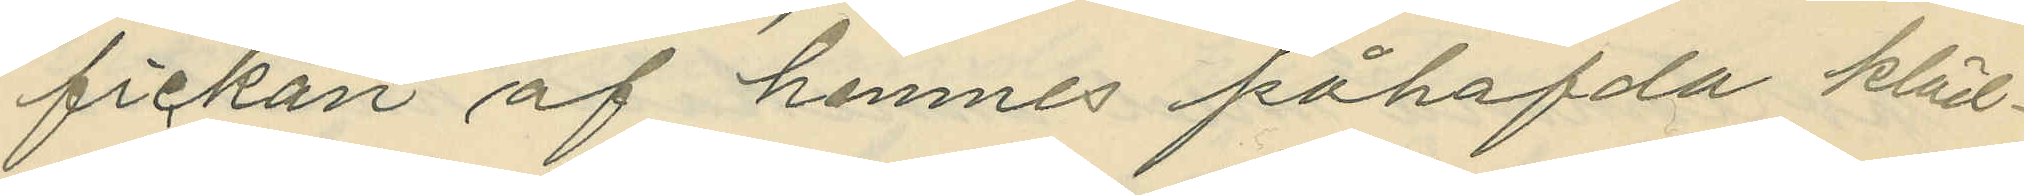fickan af henmes påhafda kläd¬
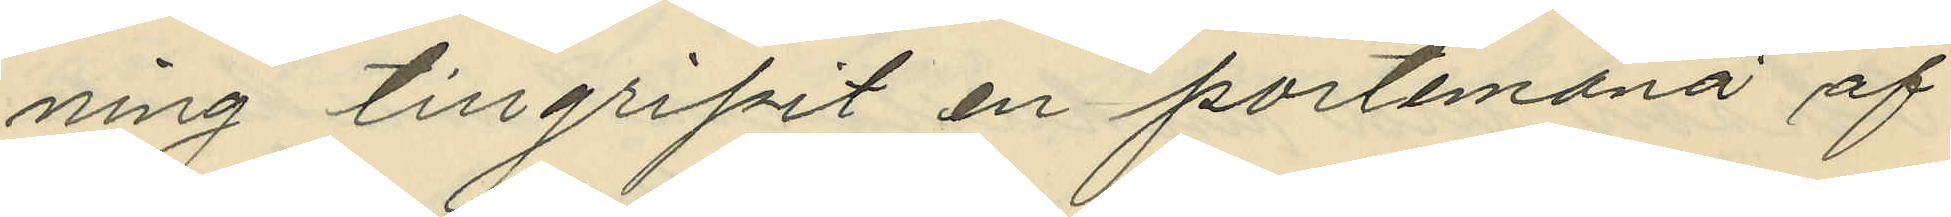ning tillgripit en portemonä af
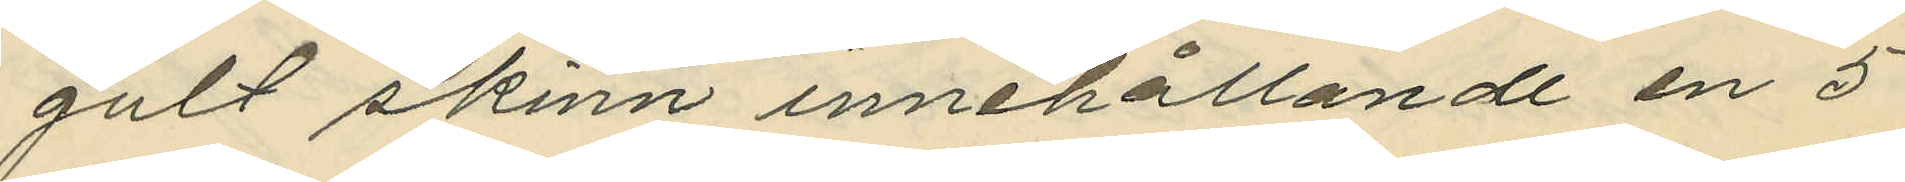gult skinn innehållande en 5
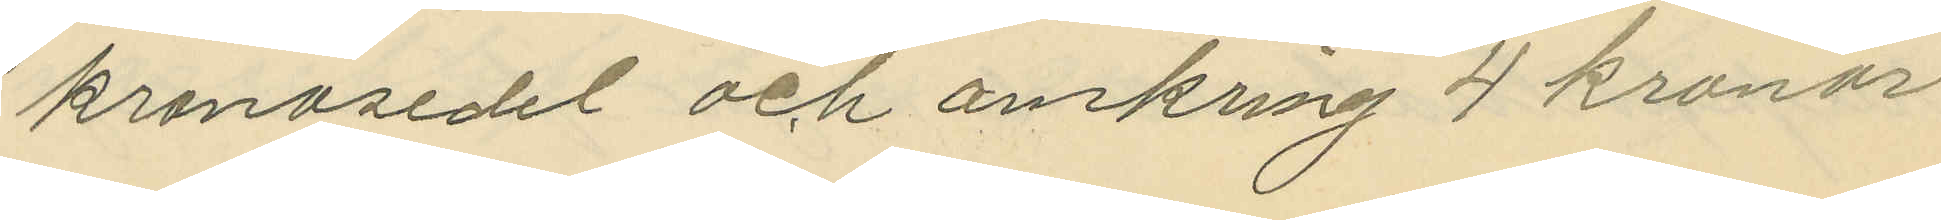kronosedel och omkring 4 kronor
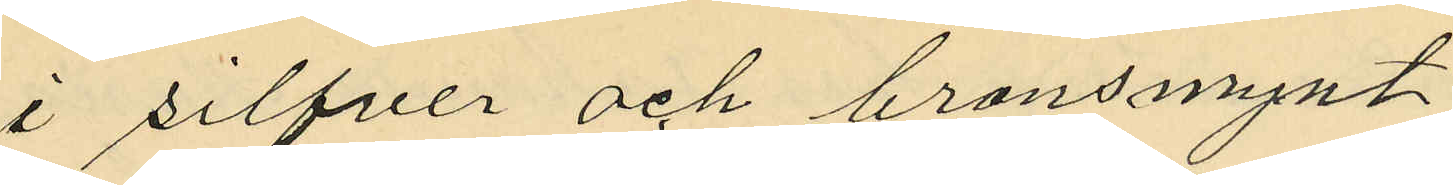i silfver och bronsmynt
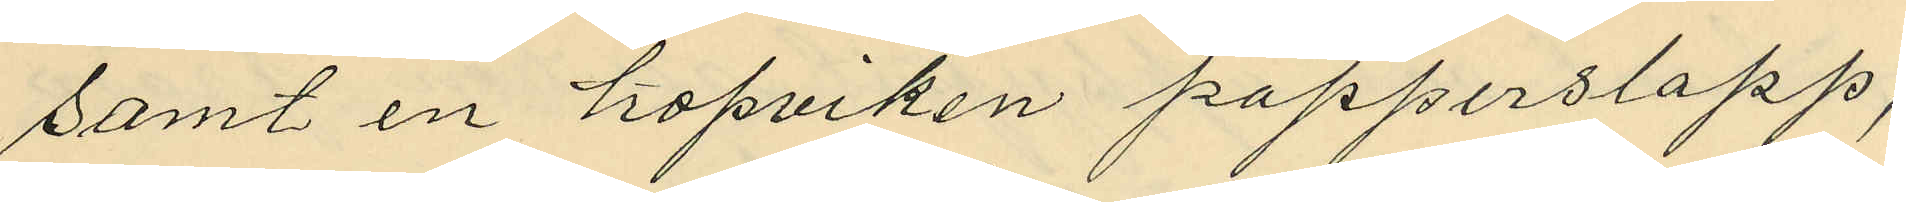samt en hopviken papperslapp;
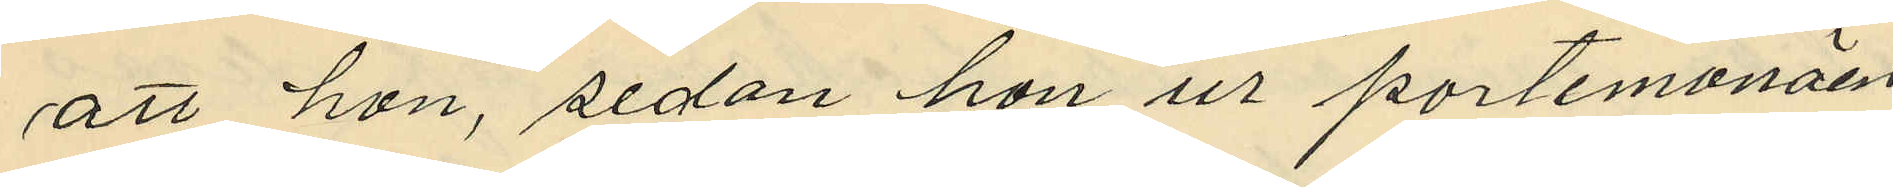att hon, sedan hon ur portemonäen
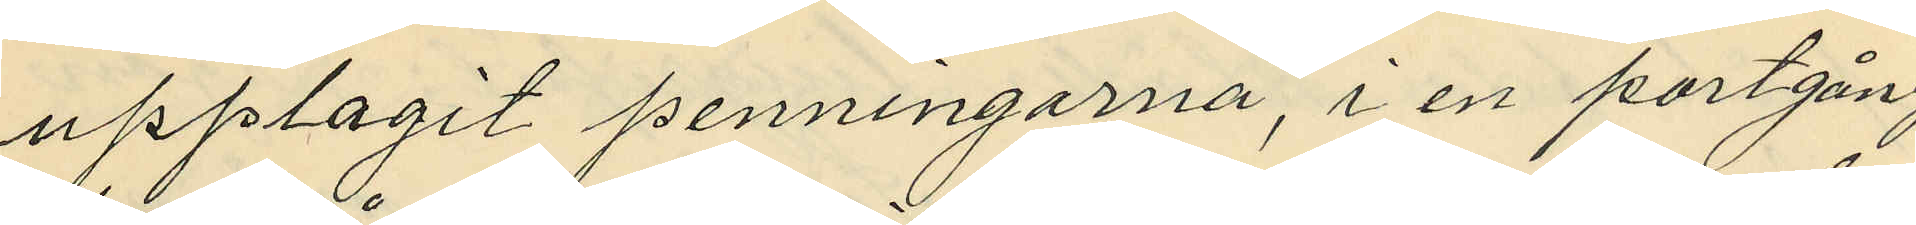upplagit penningarna, i en portgång
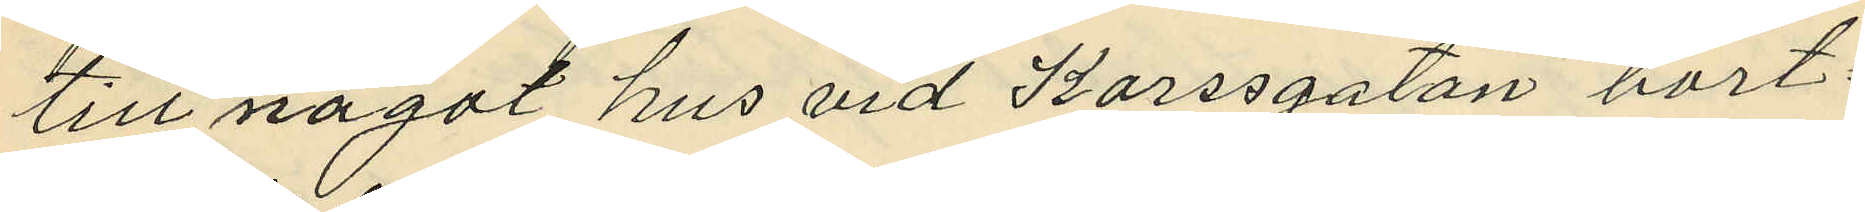till något hus vid Korssgatan bort¬
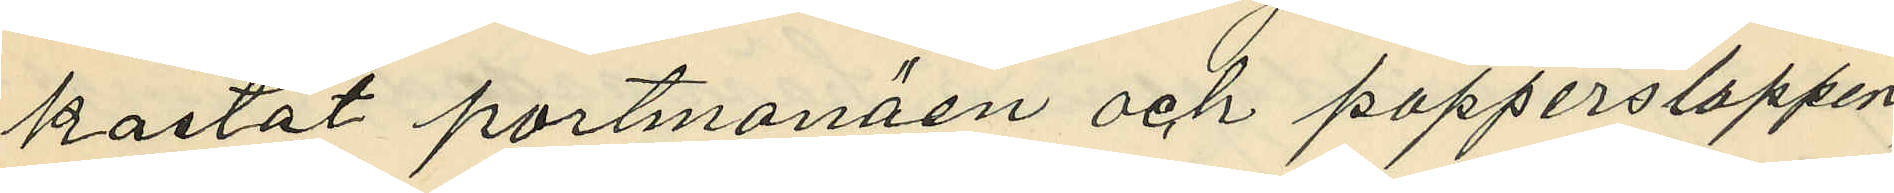kastat portmonäen och papperslappen,
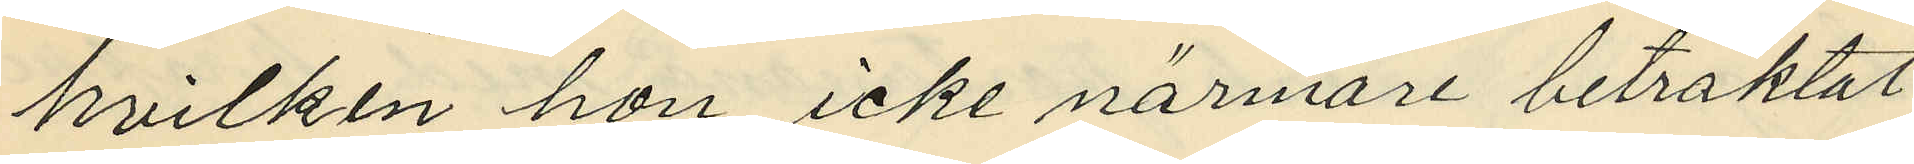hvilken hon icke närmare betraktat;
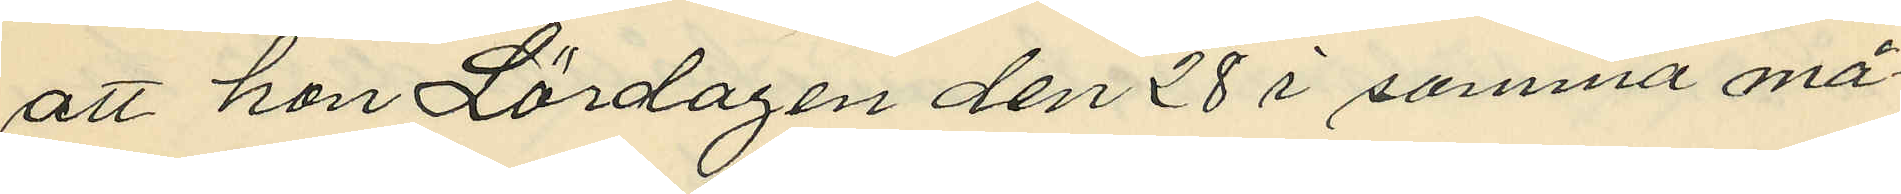att hon Lördagen den 28 i samma må¬
